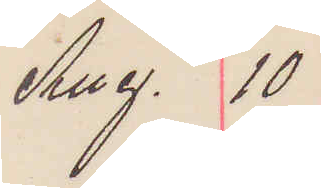Aug. 10
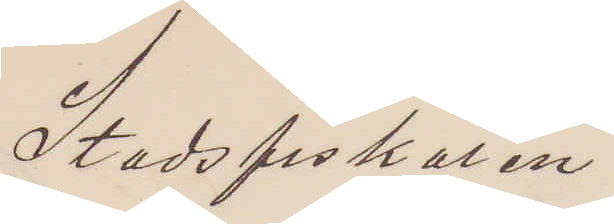Stadsfiskalen
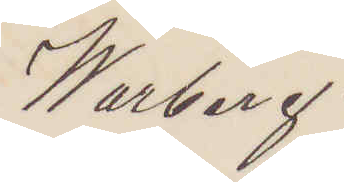Warberg.
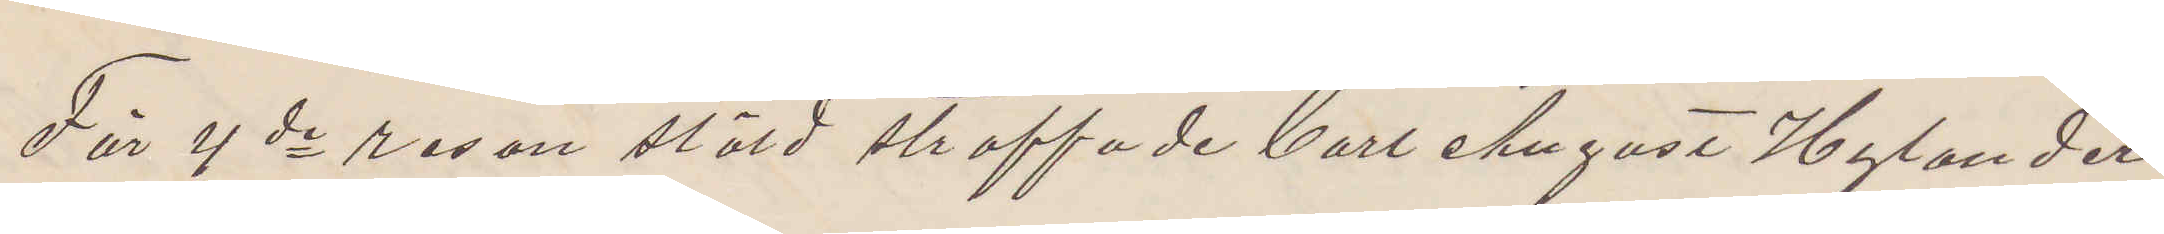För 4de resan stöld straffade Carl August Hylander
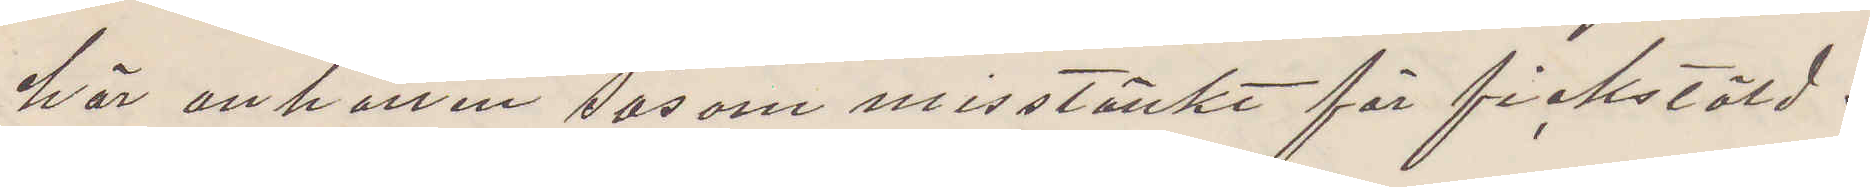här anhållen såsom misstänkt för fickstöld.
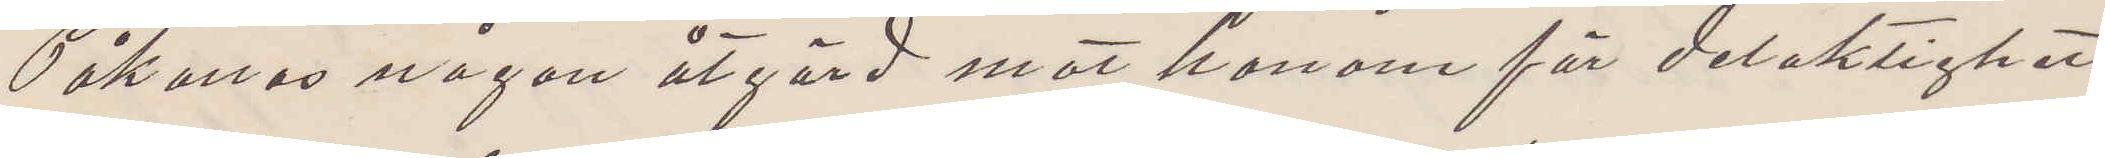Påkallas någon åtgärd mot honom för delaktighet
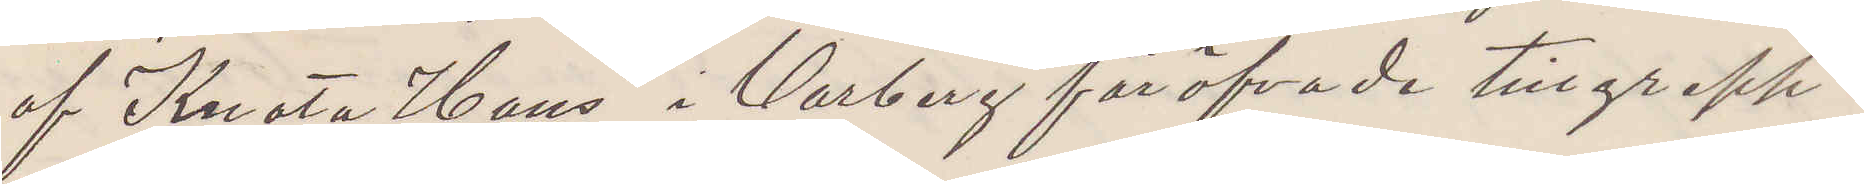af "Knota Hans" i Warberg föröfvade tillgrepp.
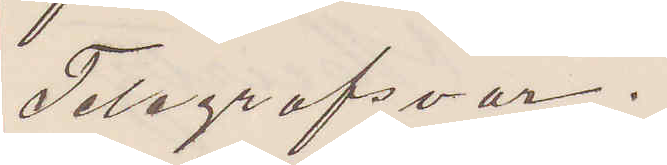Telegrafsvar.
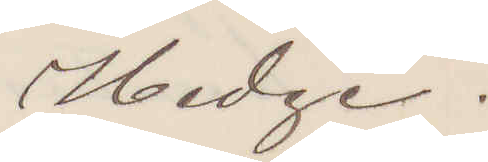Hedge.
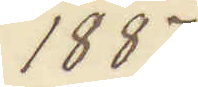1887
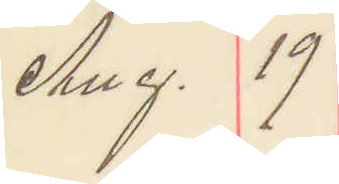Aug. 19
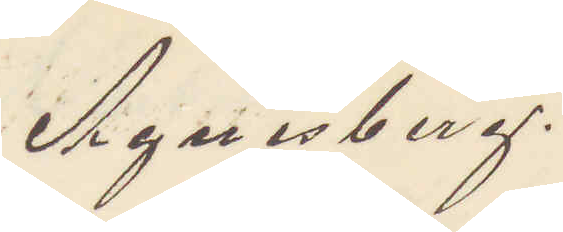Agnesberg.
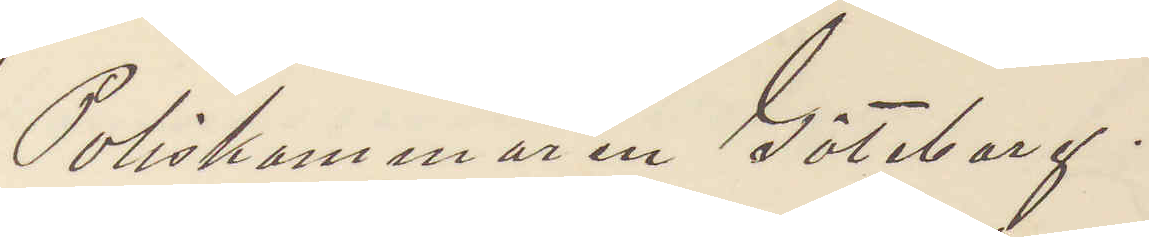Poliskammaren Göteborg.
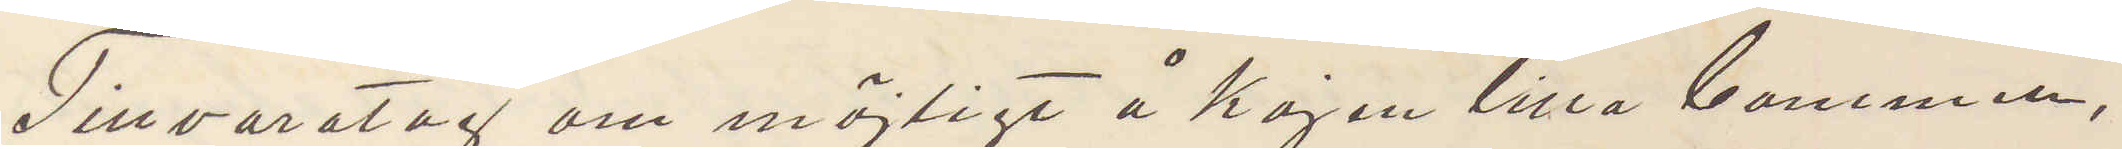Tillvaratag om möjligt å kajen lilla bommen,
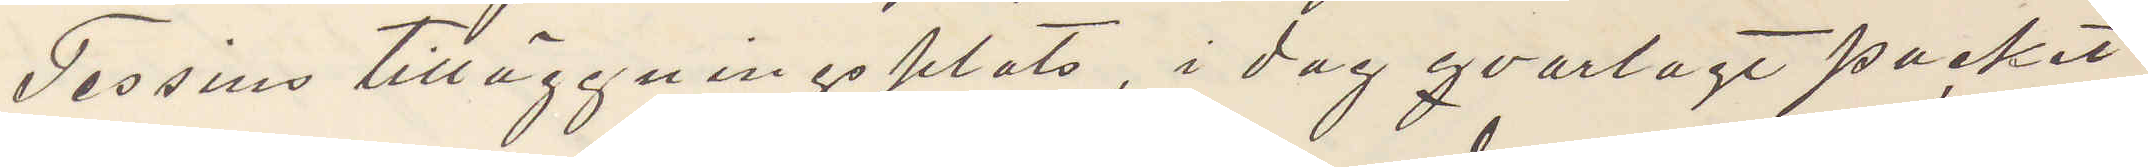Tessins tilläggningsplats, i dag qvarlagt packet
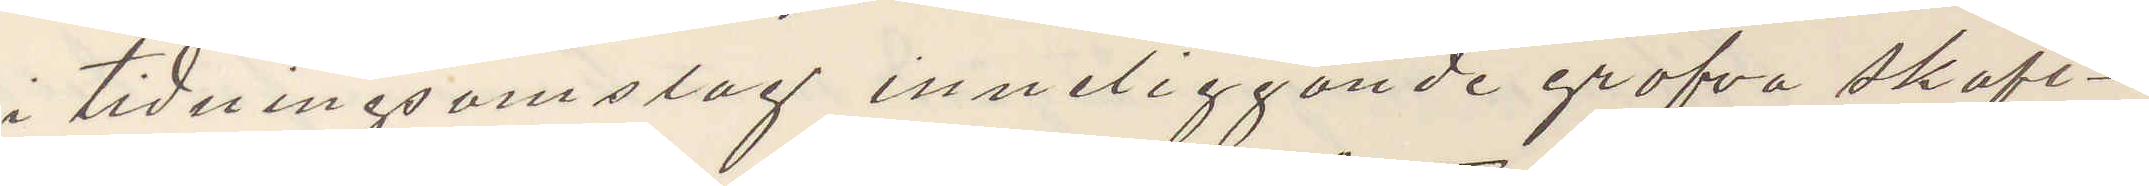i tidningsomslag inneliggande grofva skaft¬
